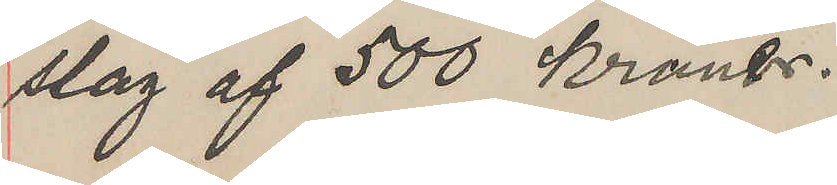slag af 500 kronor.
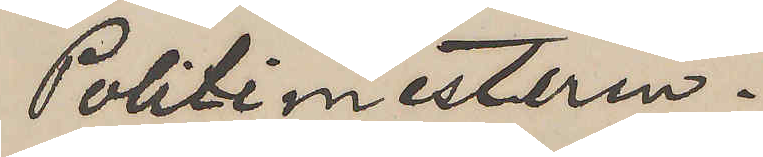Politimesteren.
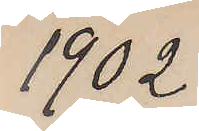1902
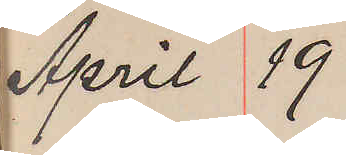April 19
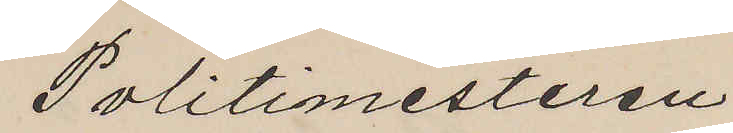Politimesteren
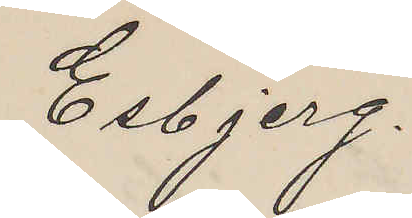Esbjerg
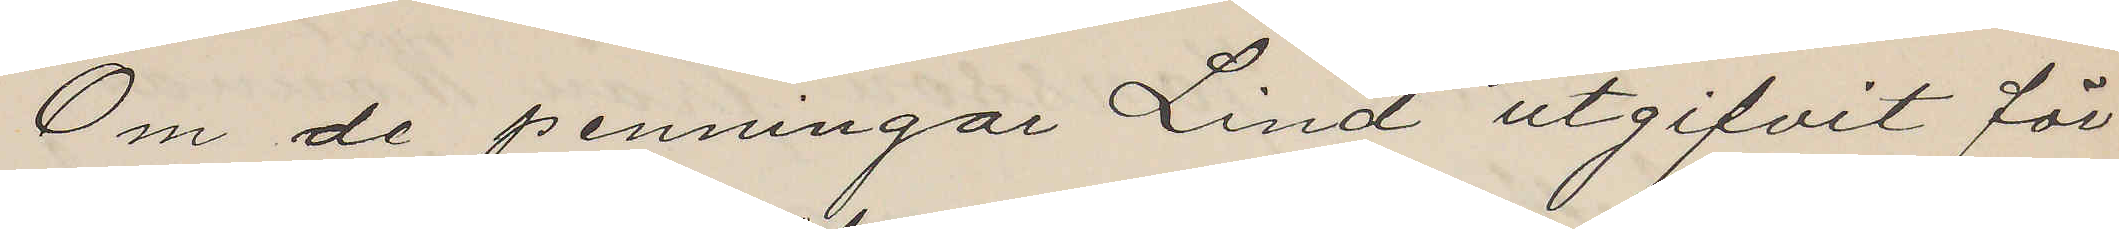Om de penningar Lind utgifvit för
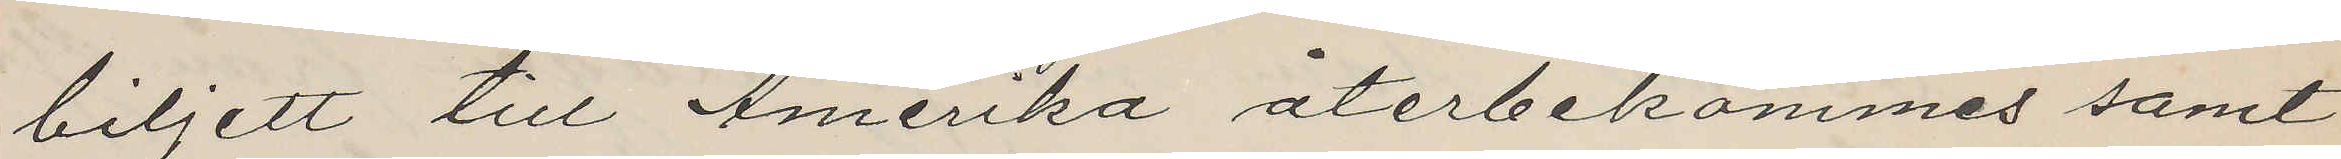biljett till Amerika återbekommes samt
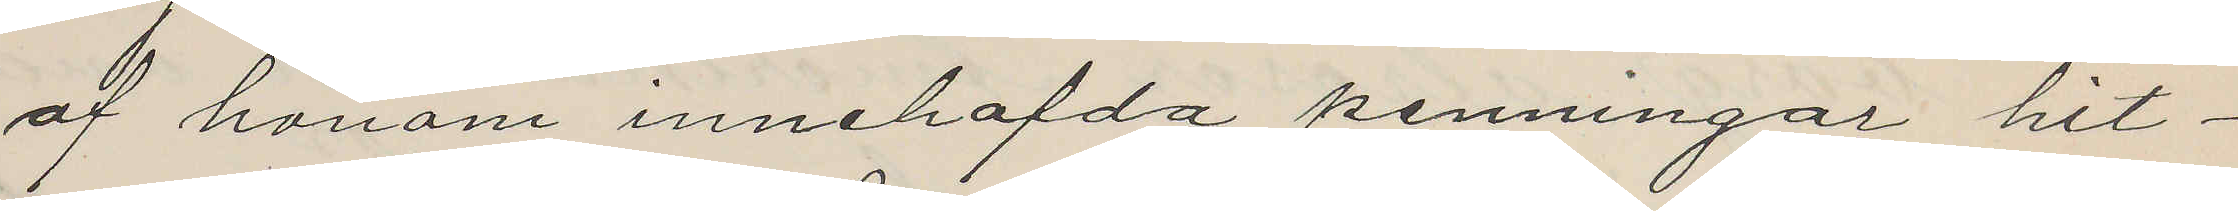af honom innehafda penningar hit¬
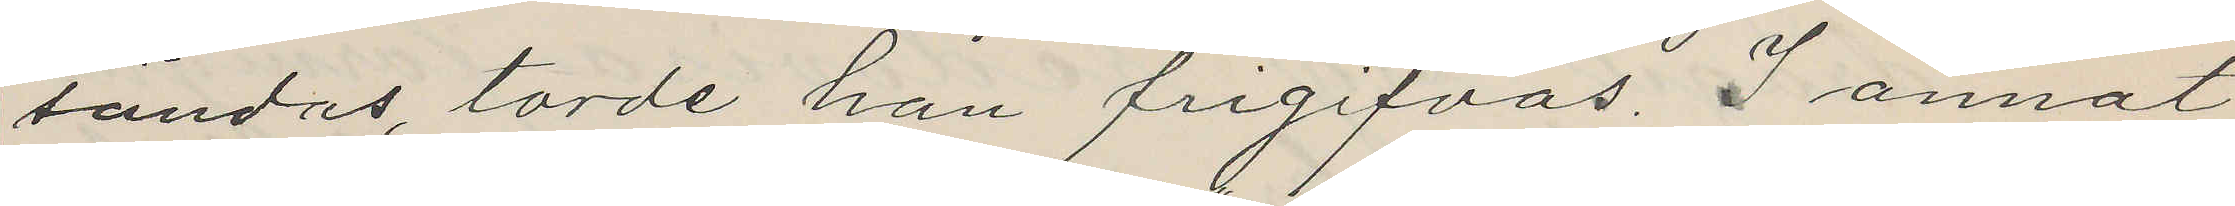sändas, torde han frigifvas. I annat
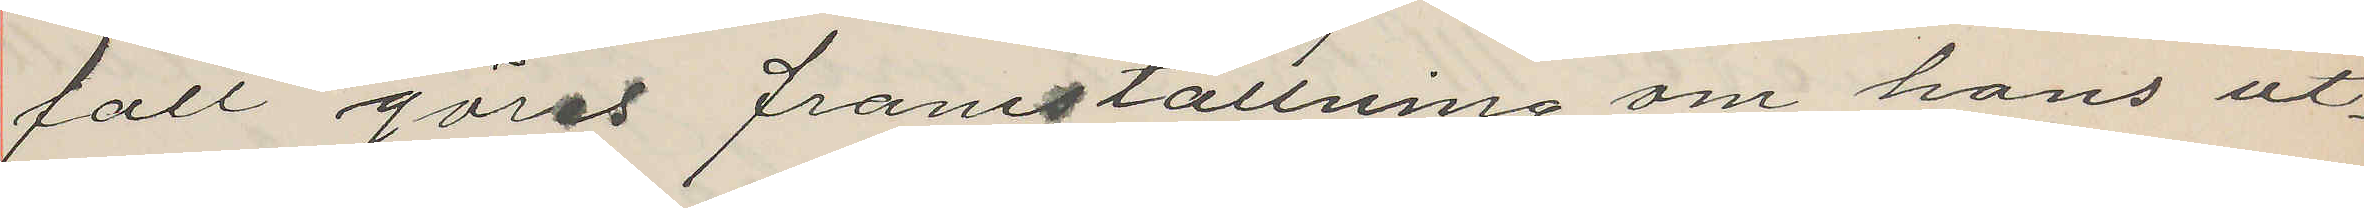fall göres framställning om hans ut¬
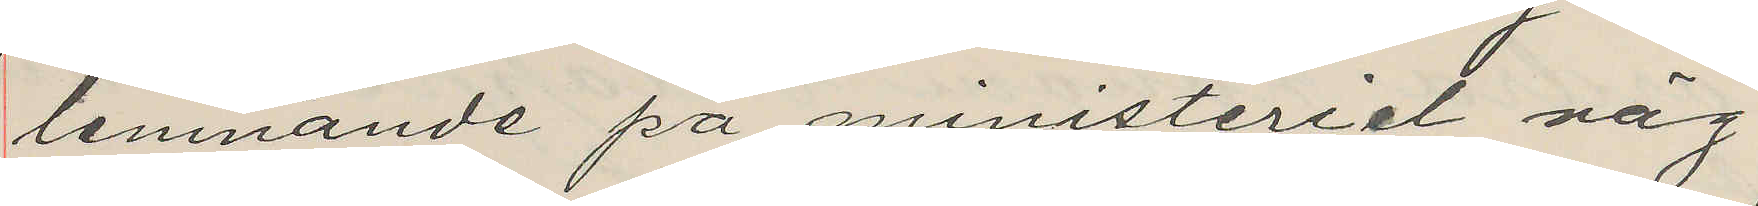lemnande på ministeriet väg
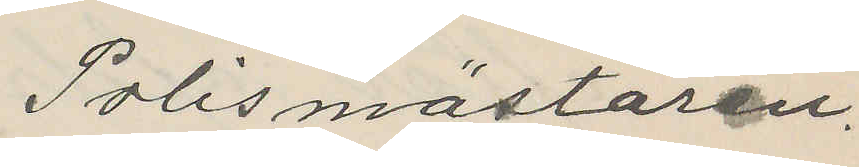Polismästaren.
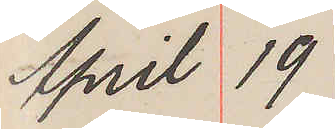April 19
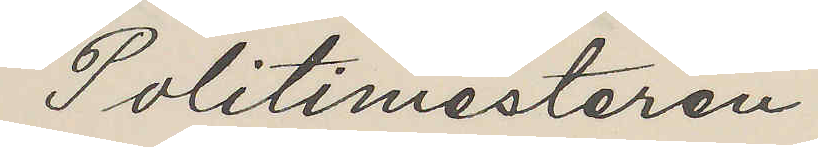Politimesteren
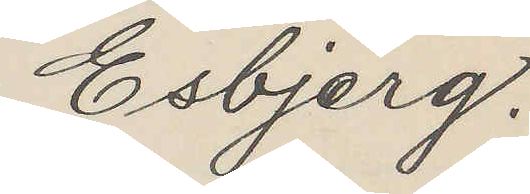Esbjerg.
